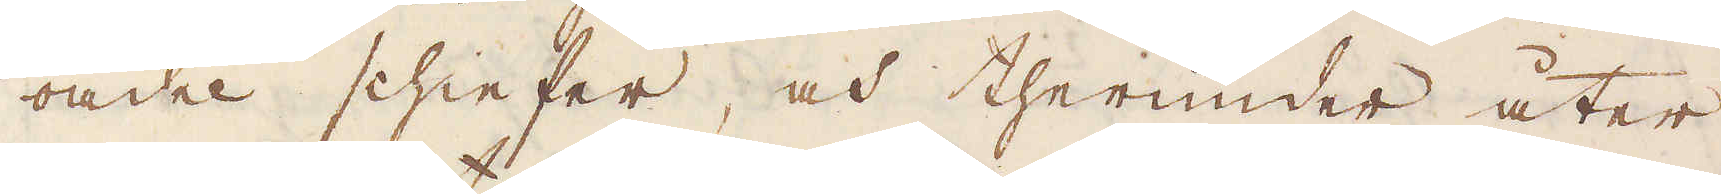oädel schieffer, och therunder åter
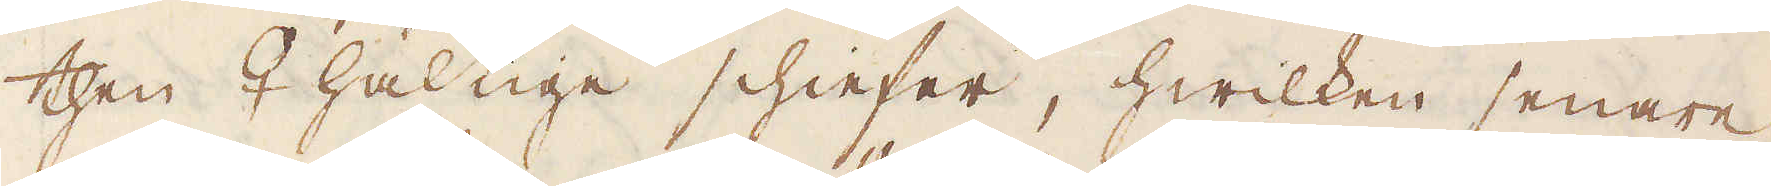then ♀haltige schieffer, hwilken senare
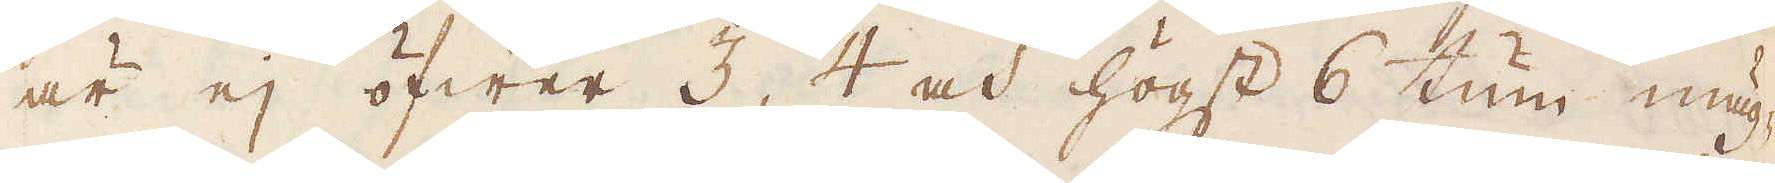är ej öfwer 3, 4 och högst 6 tum mäg-
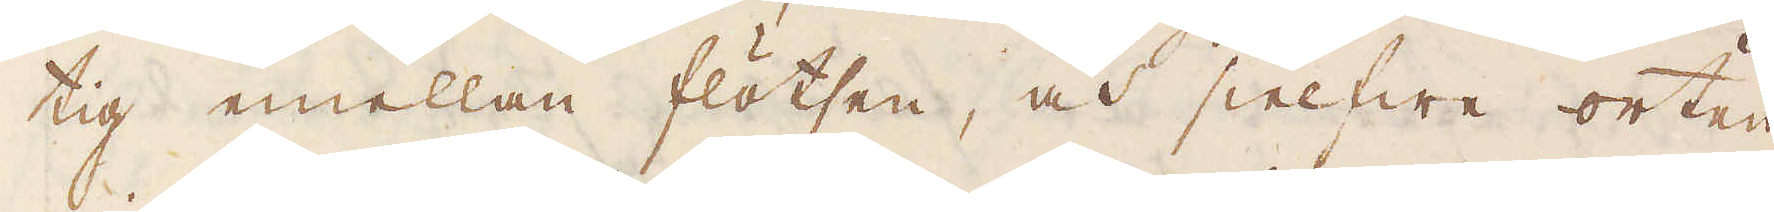tig emellan flötsen, och sielfwe orten
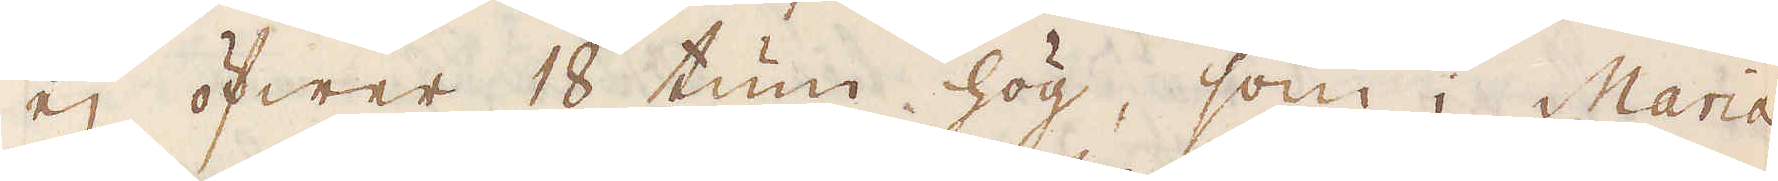ej öfwer 18 tum hög, som i Maria
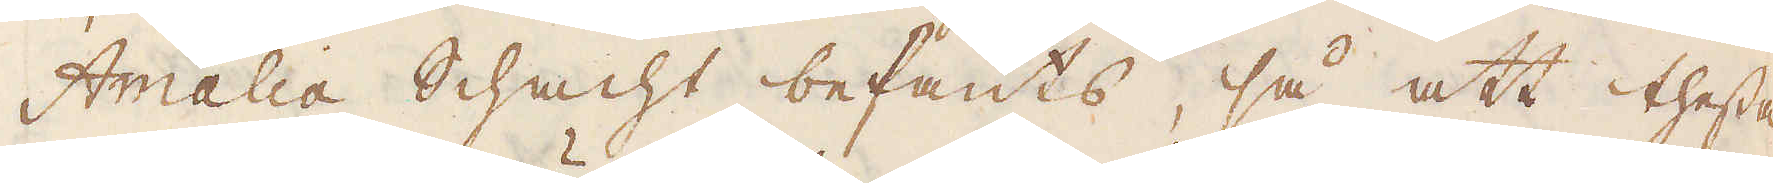Amalia Schacht befants, så att thesse
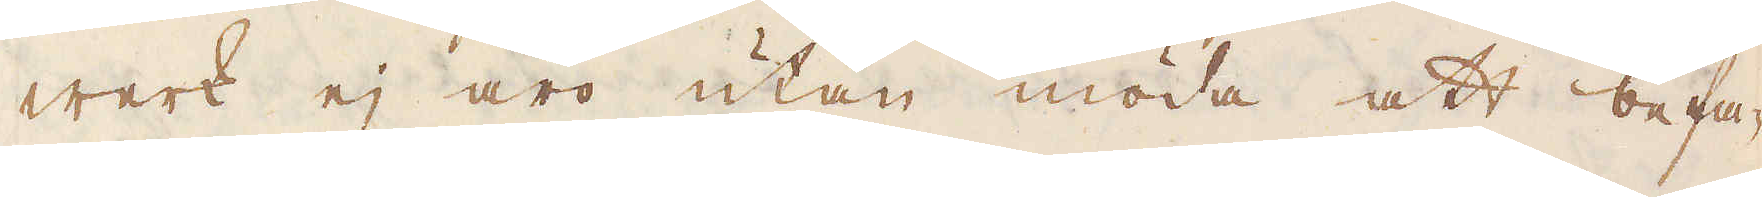werk ej äro utan möda att befa-
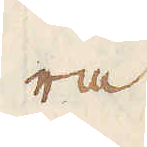ra.
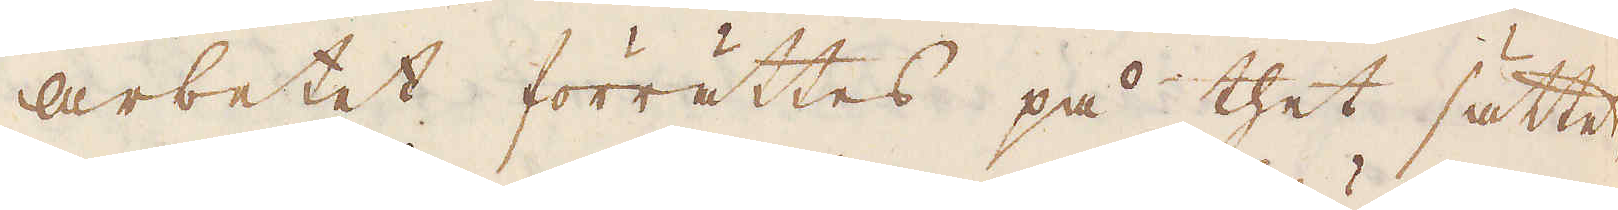Arbetet förrättes på thet sättet,
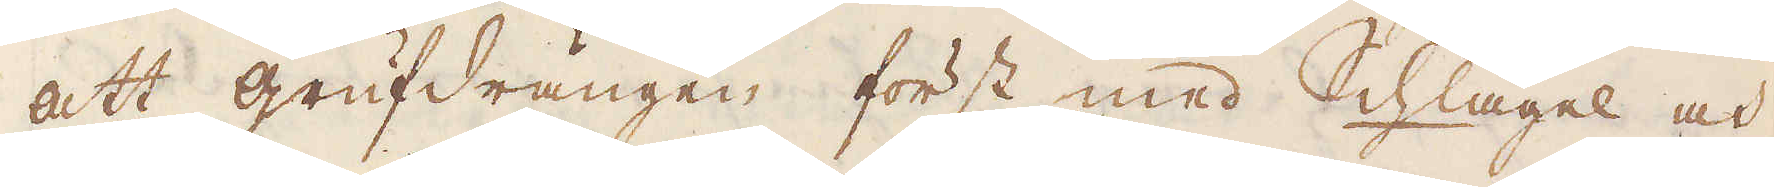att grufdrängen först med Schlägel och
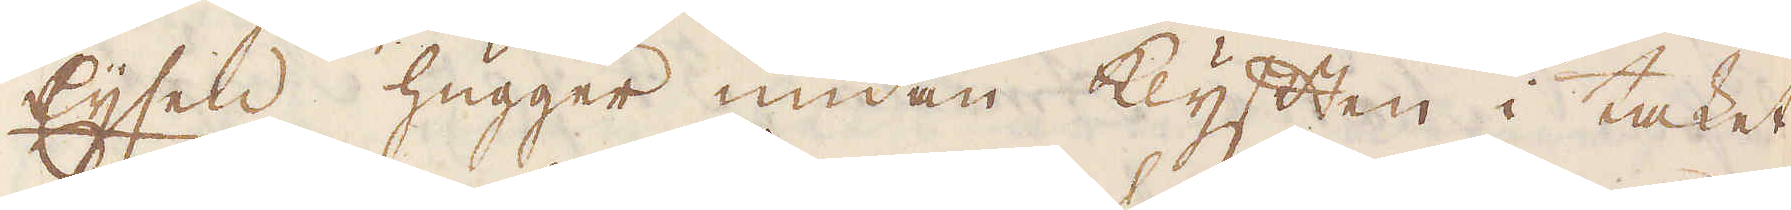Eijsen hugger undan klyften i taket
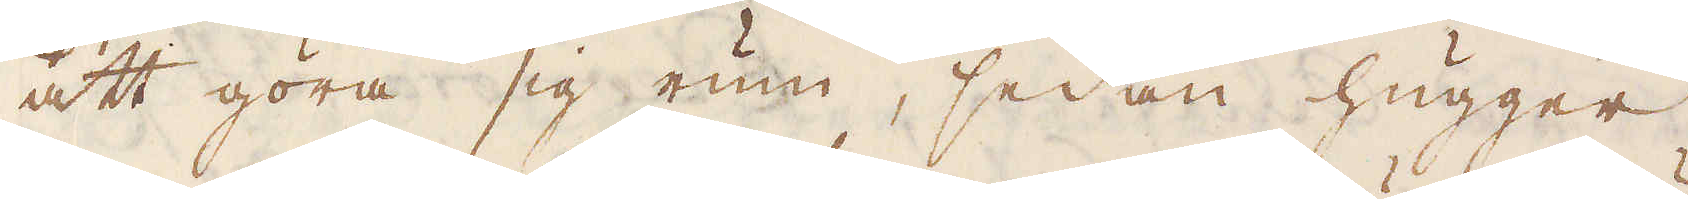att göra sig rum, sedan hugger
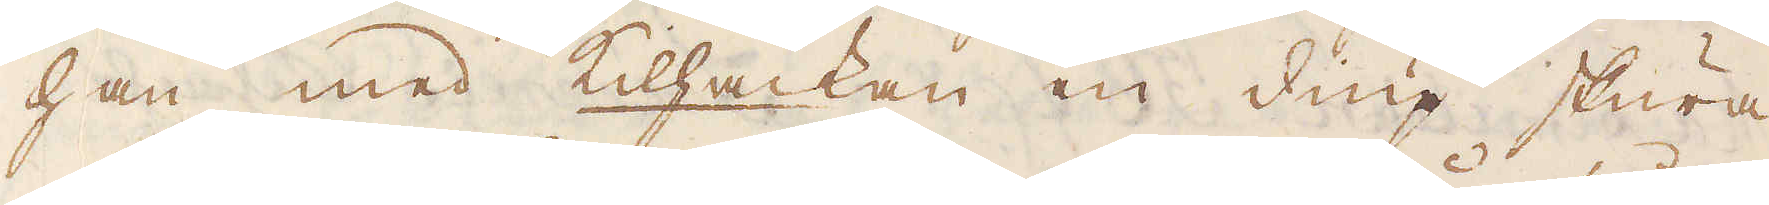han med kilhackan en diup skura
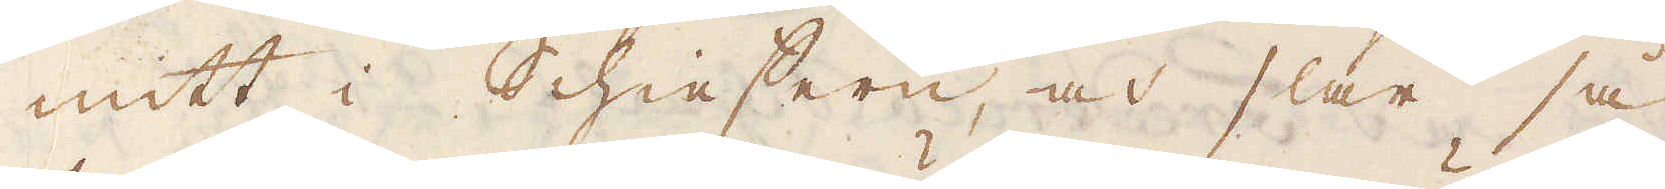mitt i Schieffern, och slår så
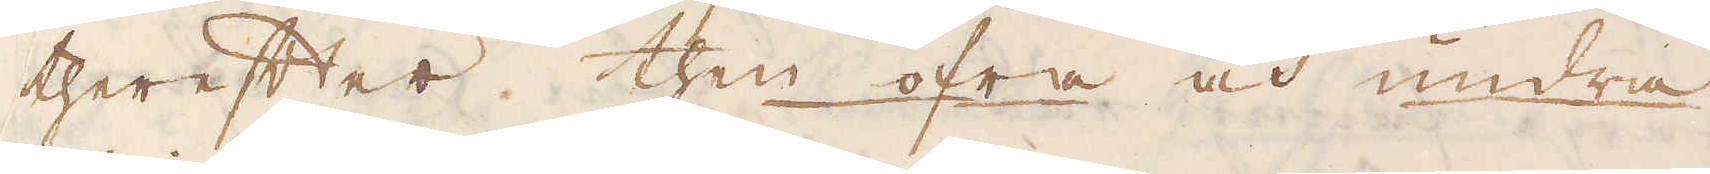therefter then öfra och undra
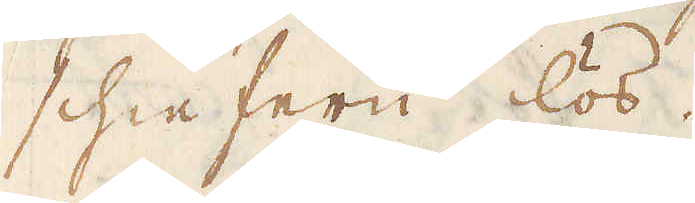schieffern lös.
